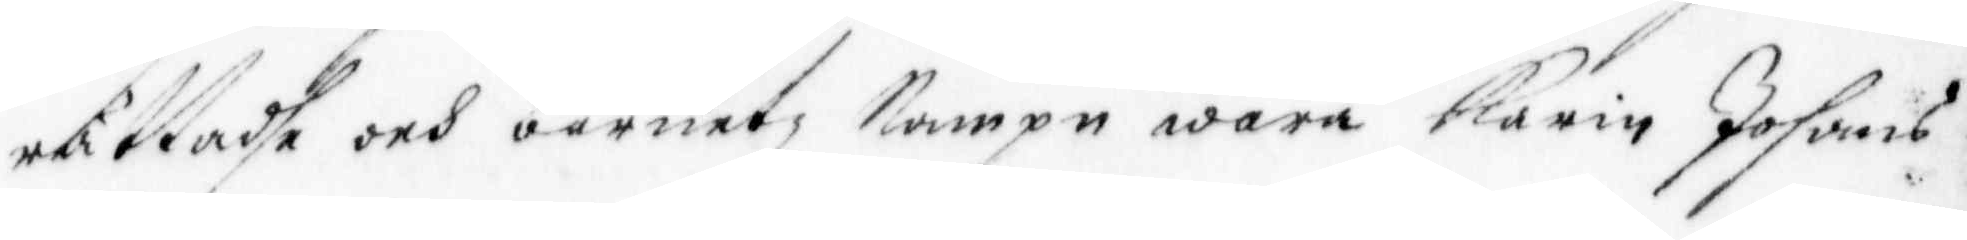rättadhe och barnetz Nampn wara Karin Johans¬
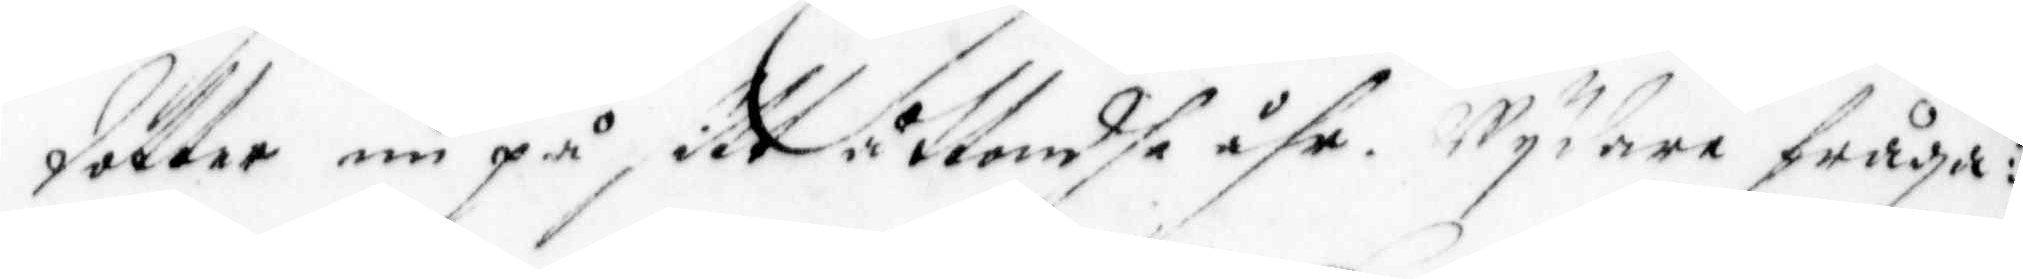dotter nu på sitt åttondhe åhr. Wydare fråga¬
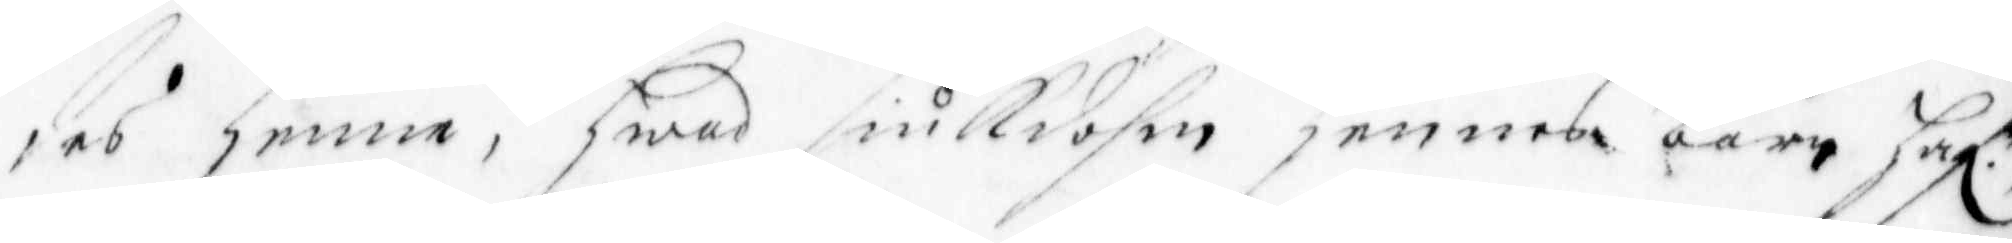des Henne, Hwad siukdohm Hennes barn Haf. r.
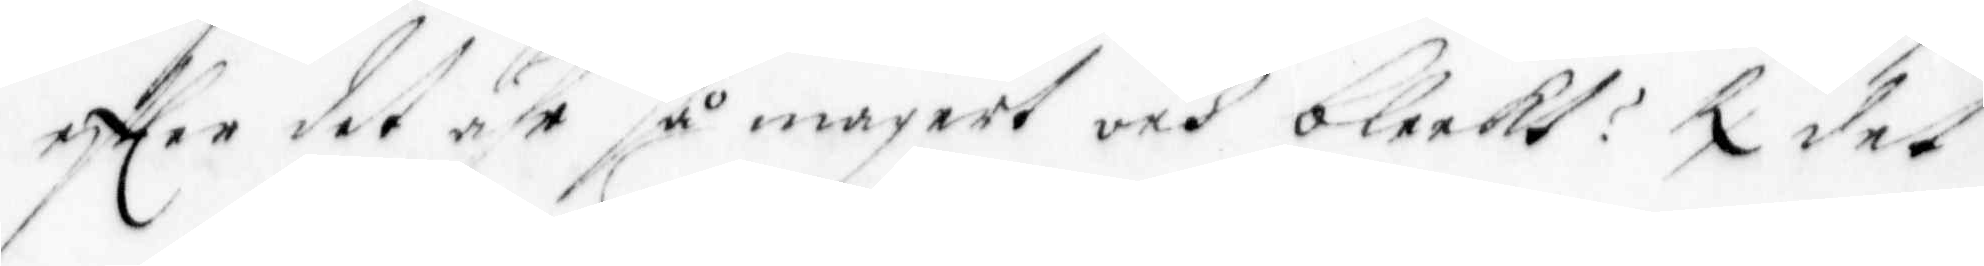efter det ähr så magert och bleekt? R det 
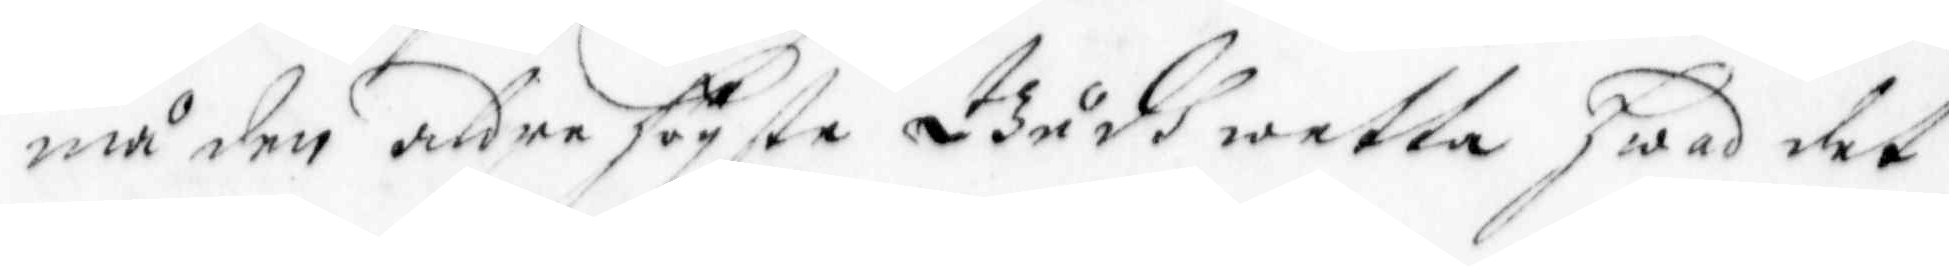må den aldre Högste Gudh wetta Hwad det
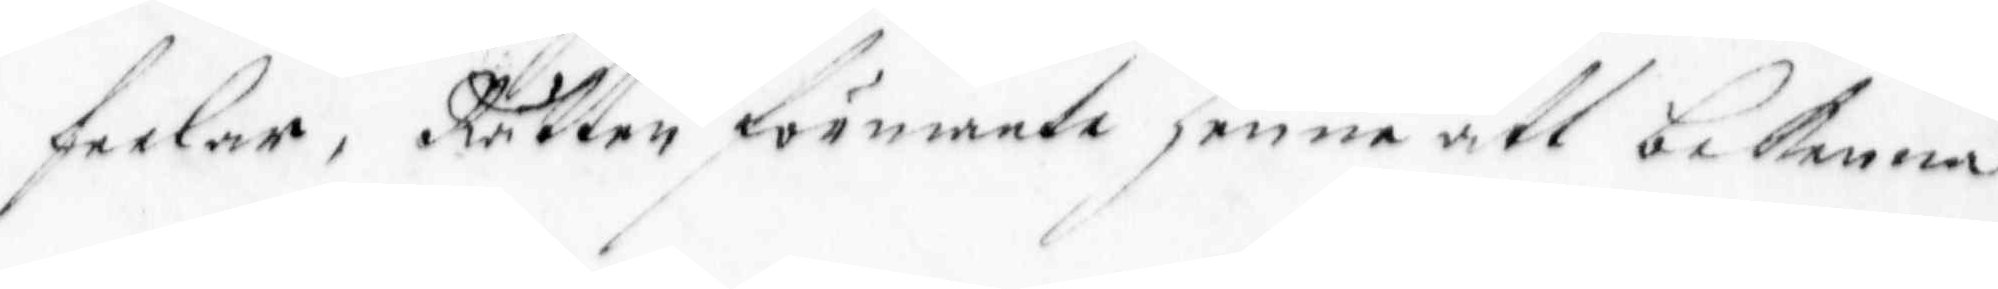feelar, Rätten förmante henne att bekenna
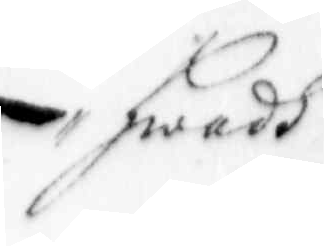Hwadh
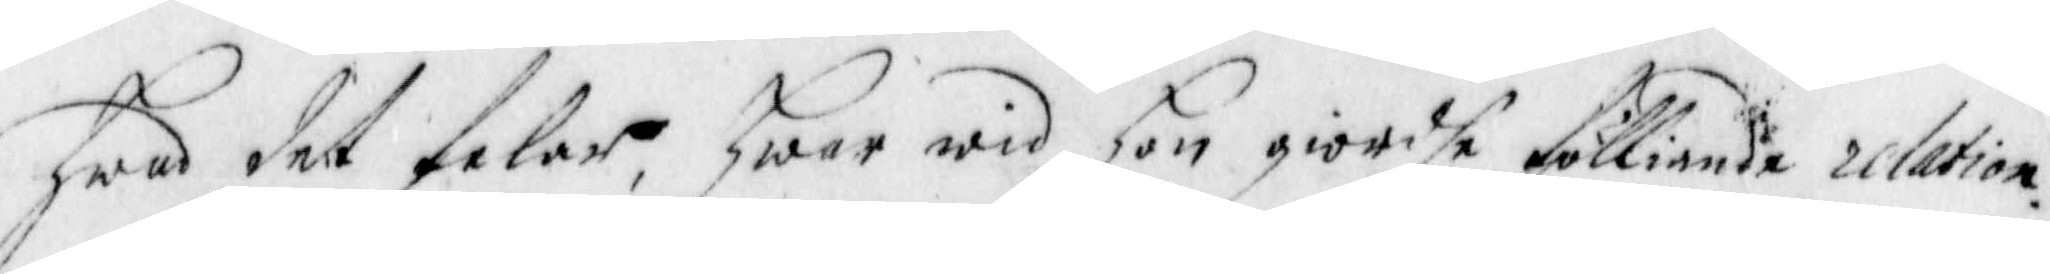hwad det felar, hwar wid hon giordhe fölliande relation.
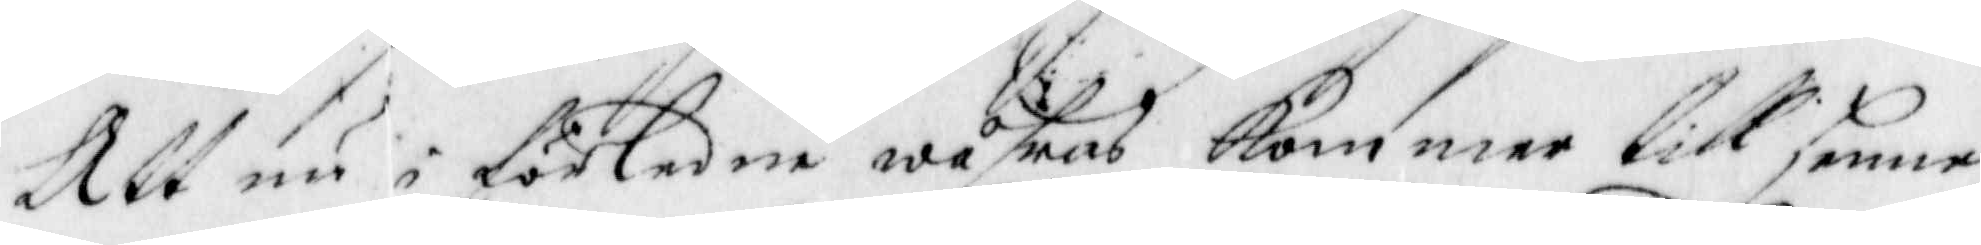Att nu i förledne wåhras Kommer till henne,
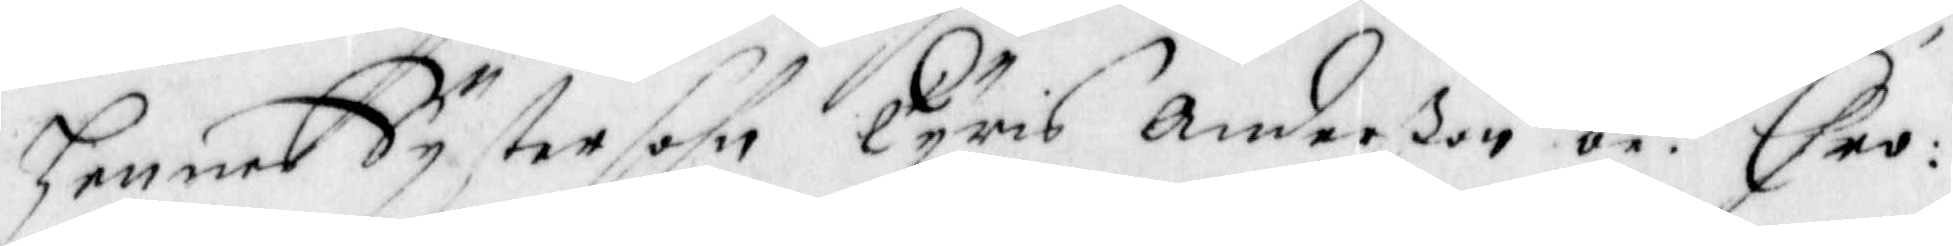hennes Systersohn Tyris Anderßon be.d Chro¬
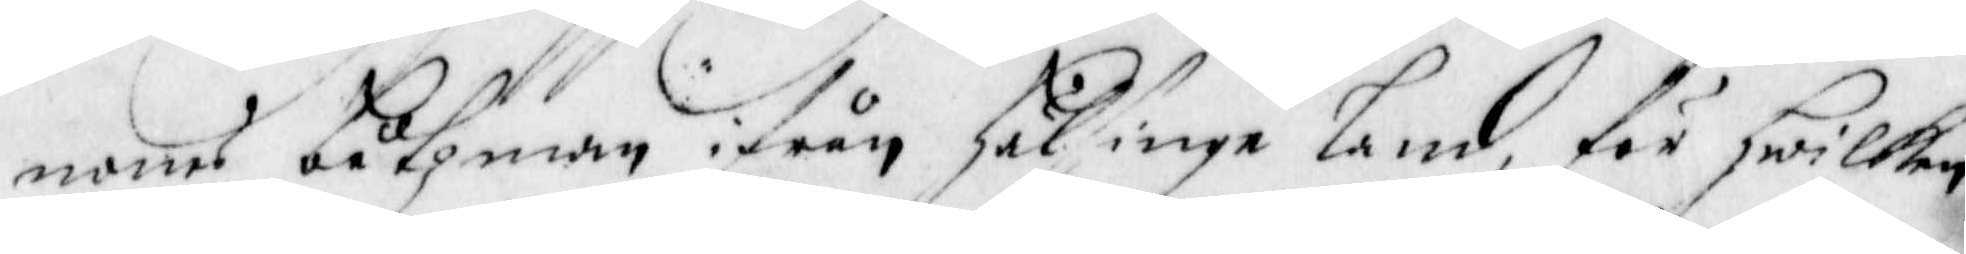nones båtzman ifrån Hälsinge Land, för hwilken
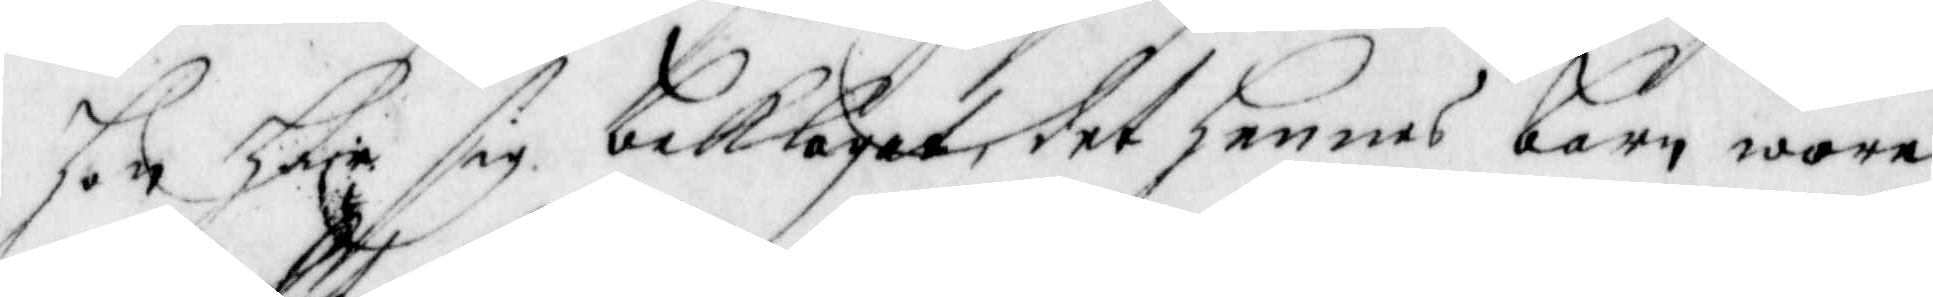hon hare sig beklagat, det hennes barn wore
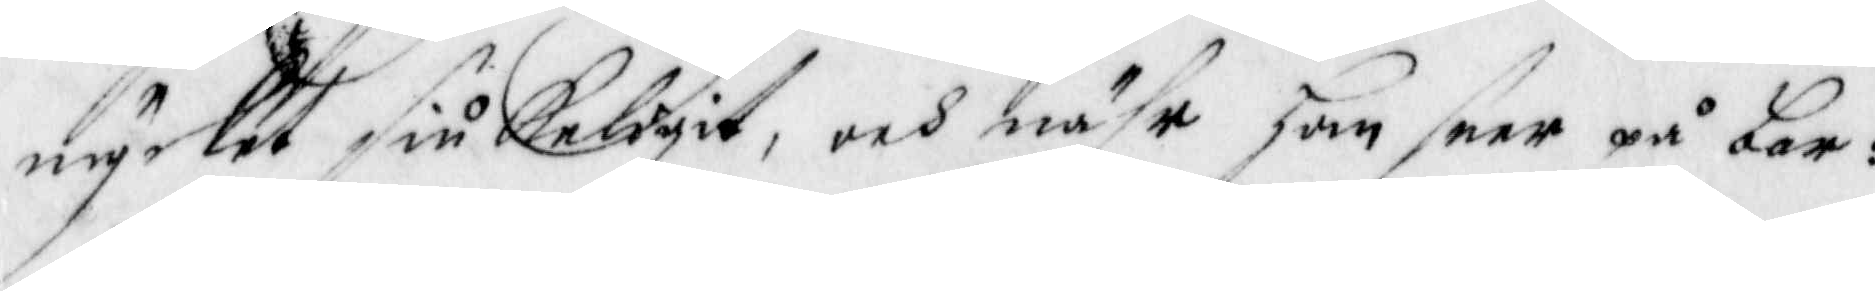mycket siukeligit, och nähr hon seer på bar¬
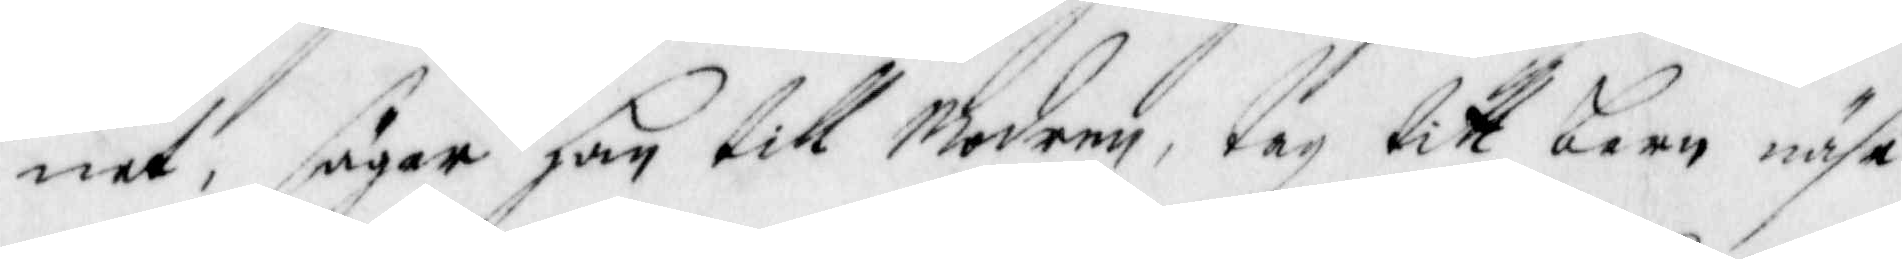net, säger hon till Modern, tag titt barn nähr
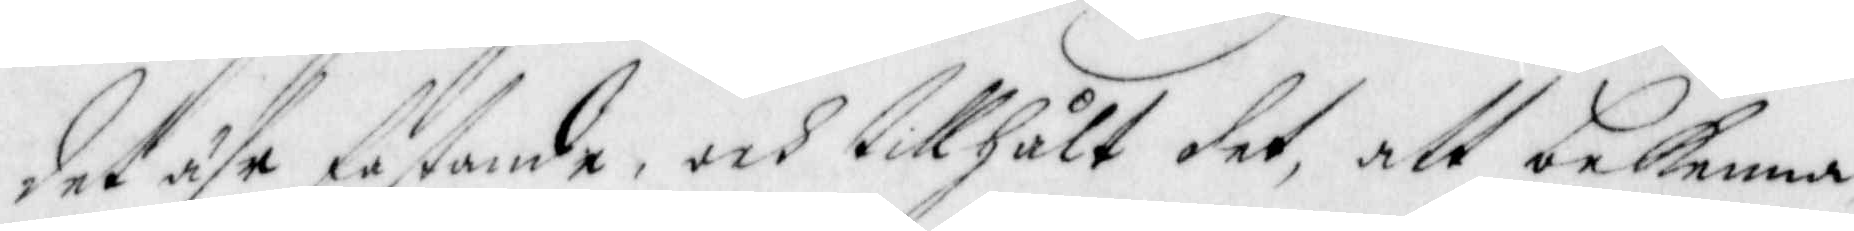det ähr fastande, och tillhålt det, att bekenna
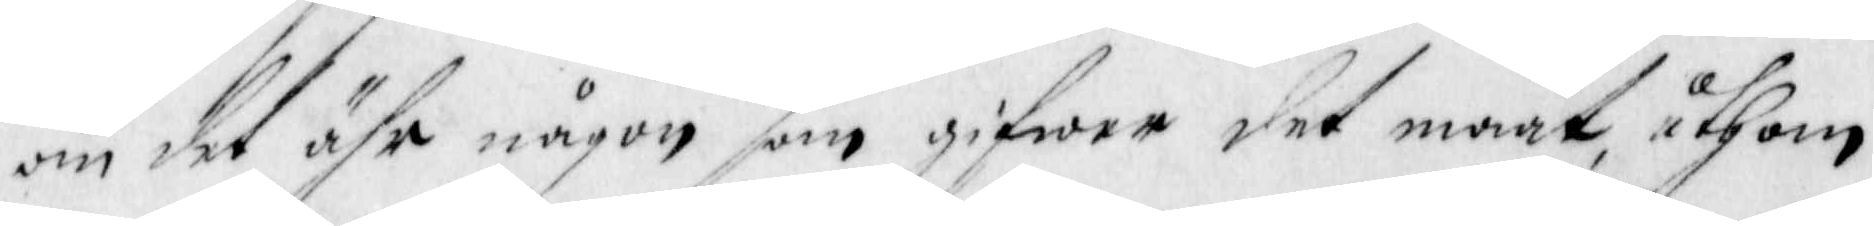om det ähr någon som gifwer det maat, uthom
